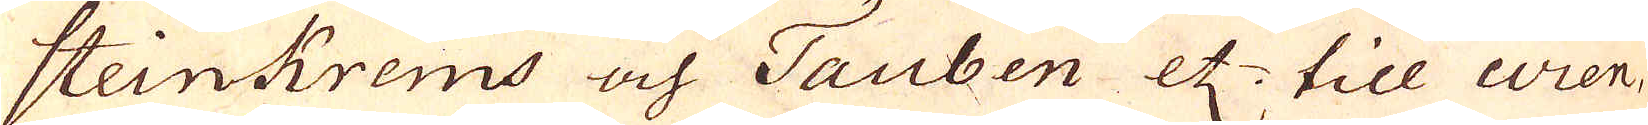Steinkrems och Tauben etz. till Wien
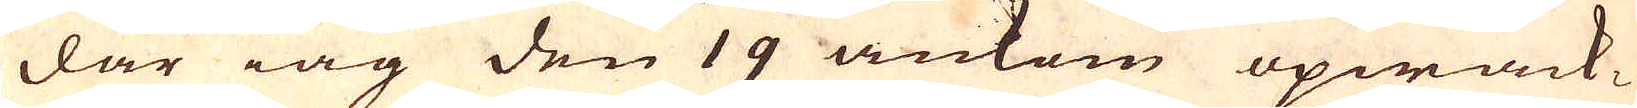där iag den 19 ankom opwack-
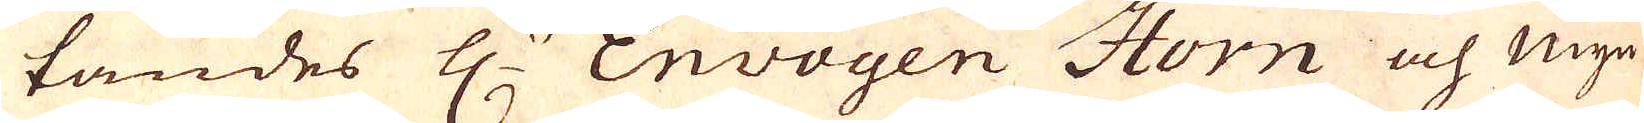tandes H:r Envoyen Horn och Myn-
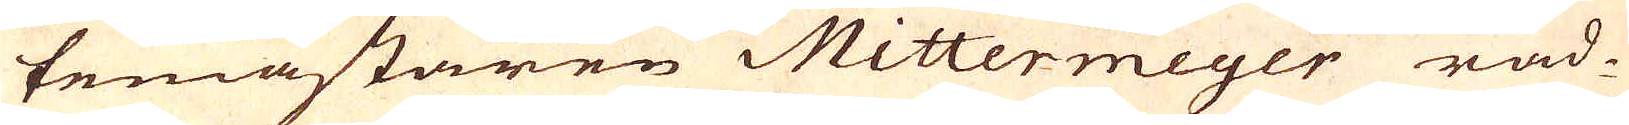temästaren Mittermeyer råd-
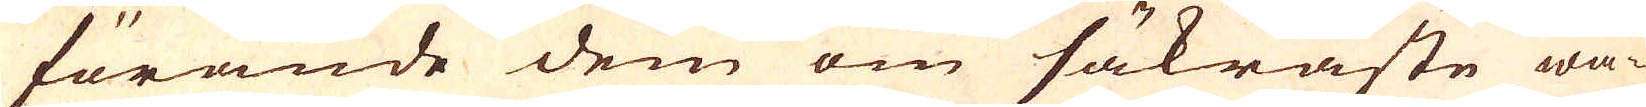förande dem om säkraste wä-
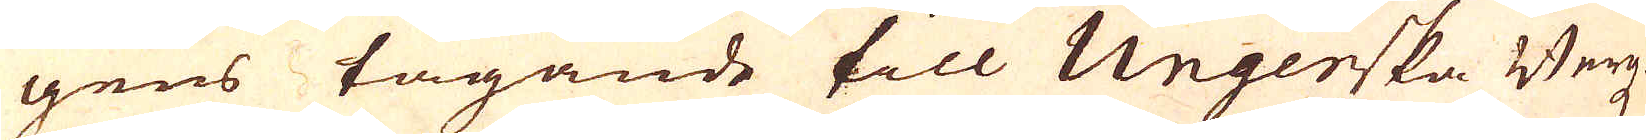gens tagande till Ungerska Bergz-
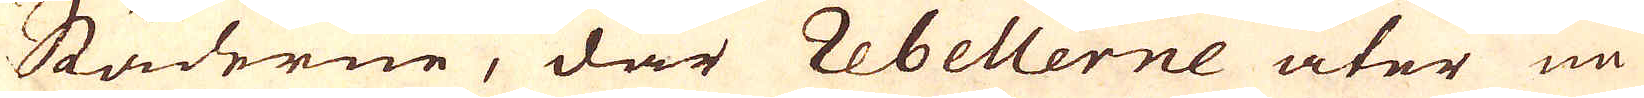Städerne, där Rebellerne åter nu
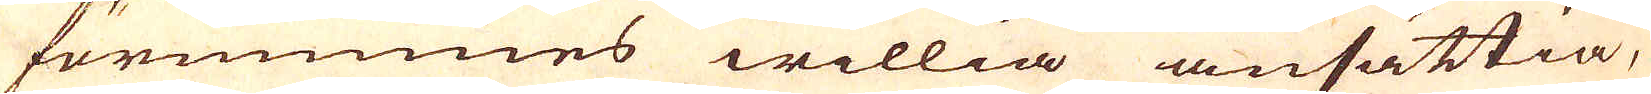förnimmes willia ansättia,
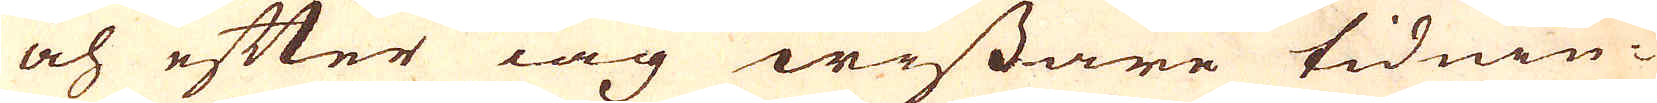och efter iag wissare tidnin-
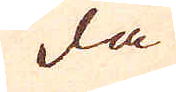da
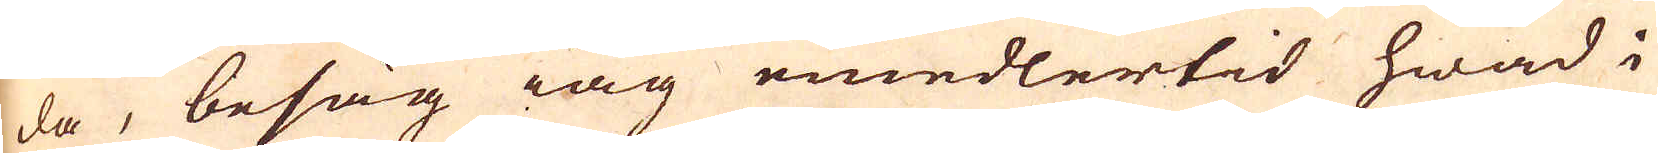da, besåg iag emedlertid hwad i
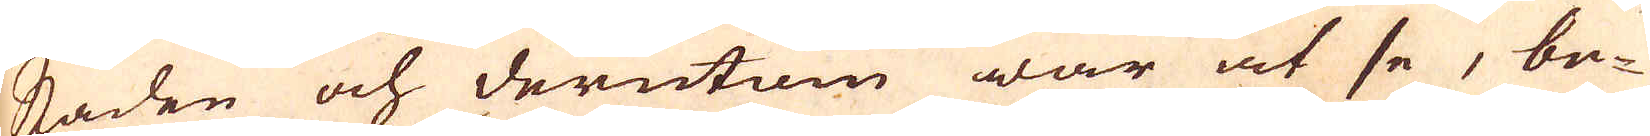staden och derutom war at se, be-
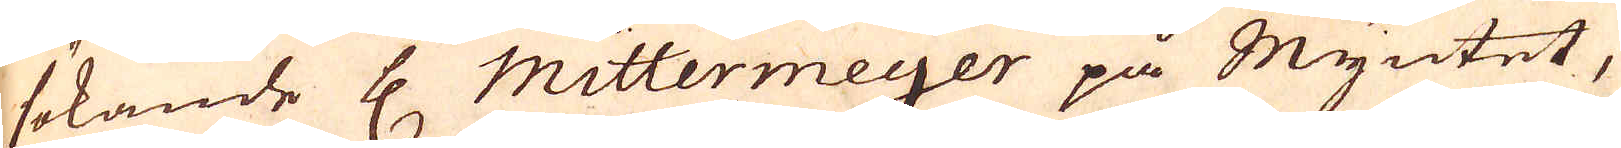sökande H. Mittermeyer på Myntet,
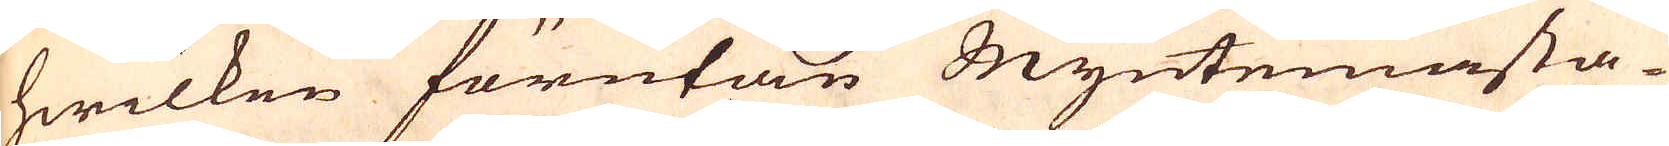hwilken förutan Myntemästa-
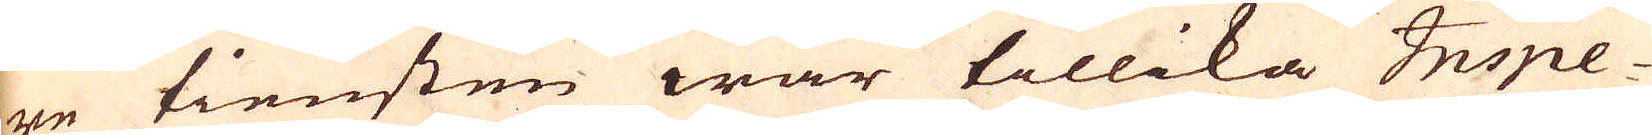re tiensten war tillika Inspe-
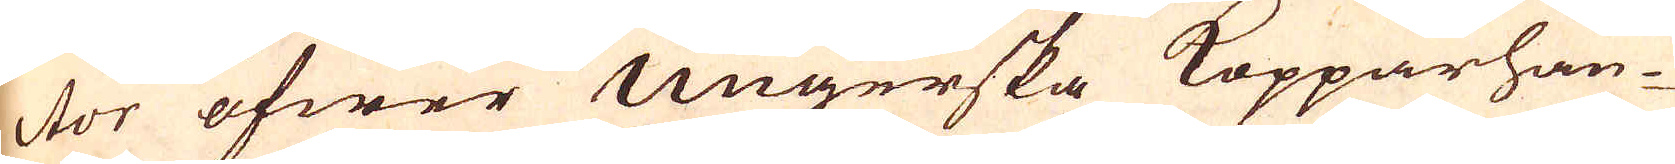ctor öfwer Ungerska Kopparhan-
